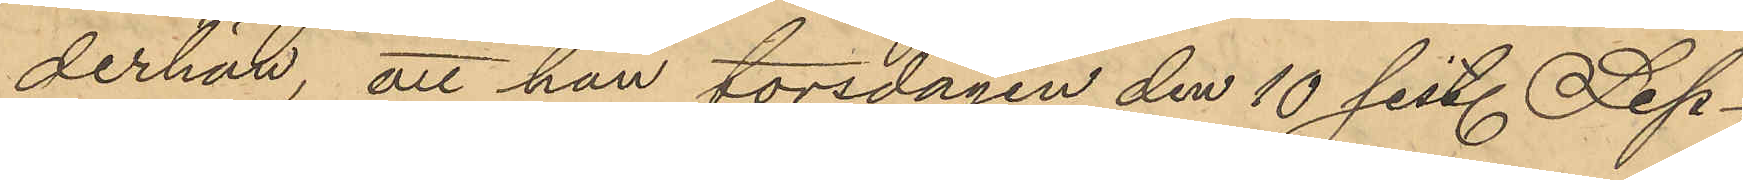derhän, att han torsdagen den 10 sist. Sep¬
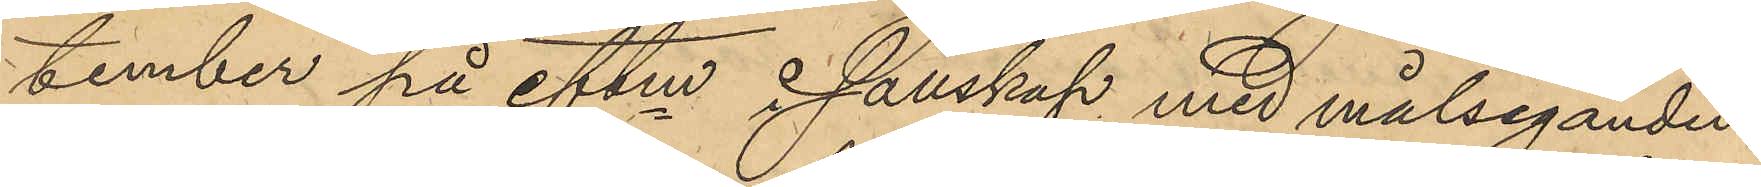tember på eftm i sällskap med målseganden
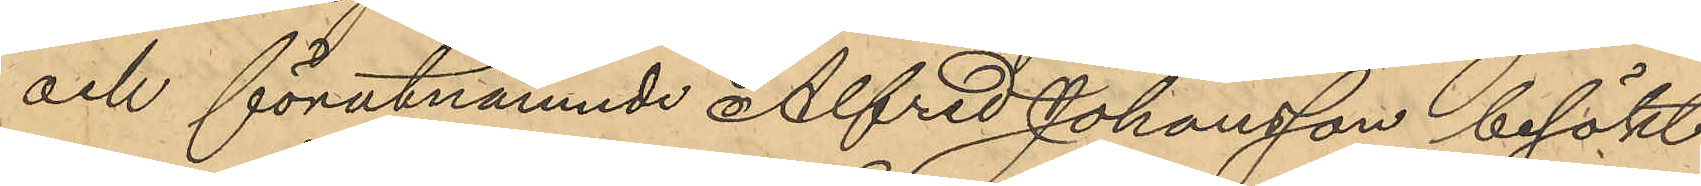och förutnämnde Alfred Johansson besökt
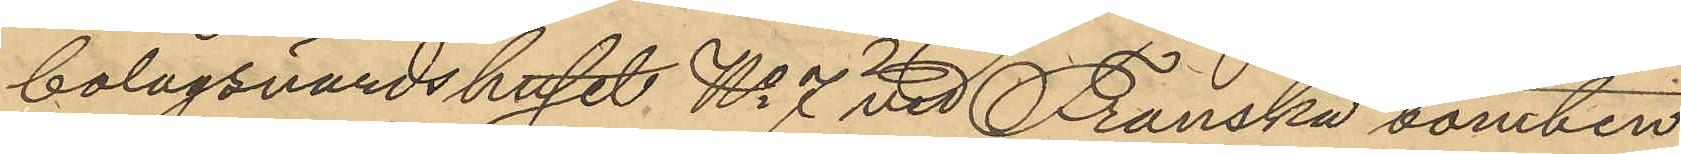bolagsvärdshuset No 7 vid Franska tomten
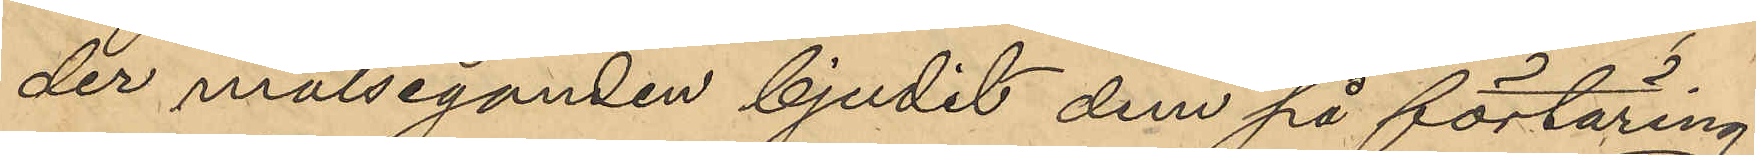der målseganden bjudit dem på förtäring;
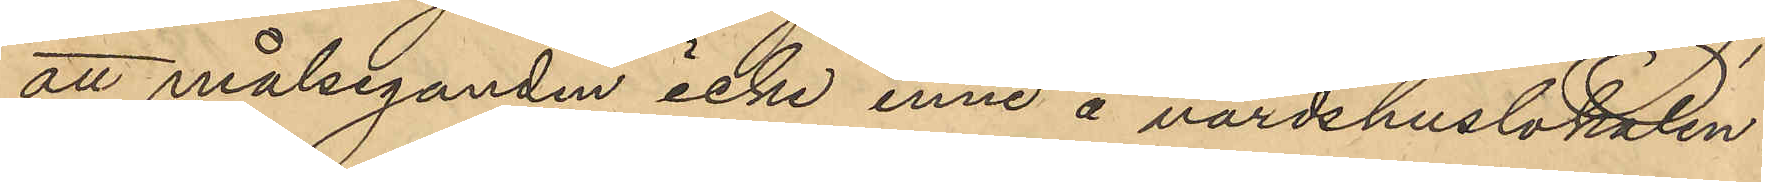att målseganden icke inne å värdshuslokalen
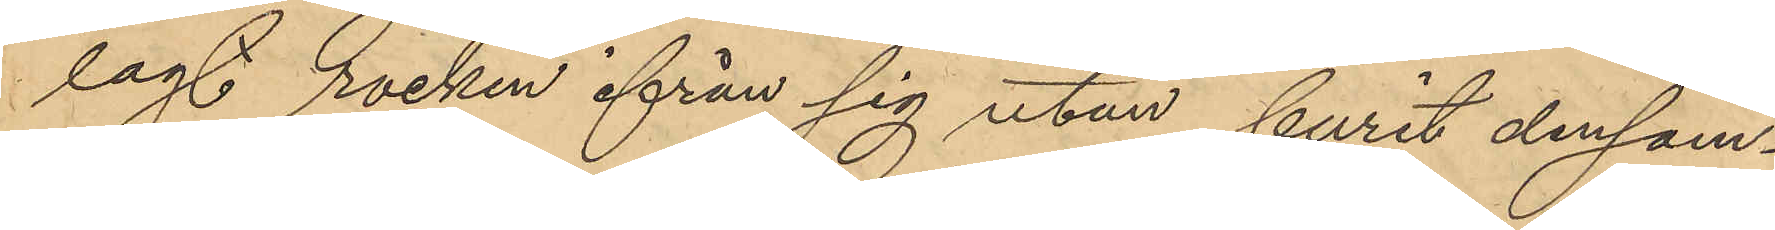lagt rocken ifrån sig utan burit densam¬
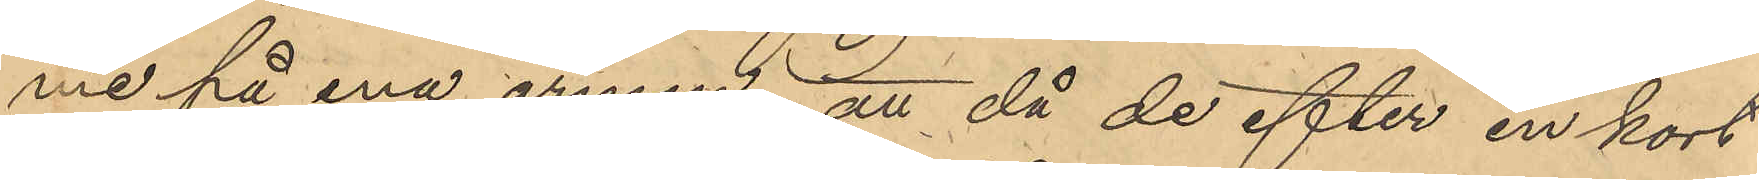me på ena armen, att då de efter en kort
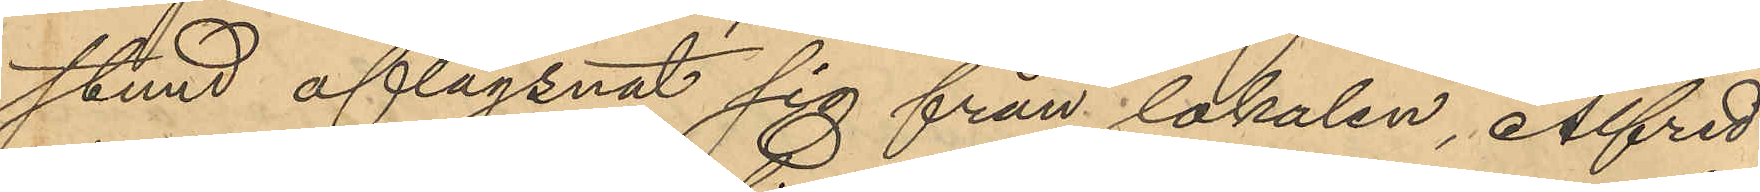stund aflägsnat sig från lokalen, Alfred
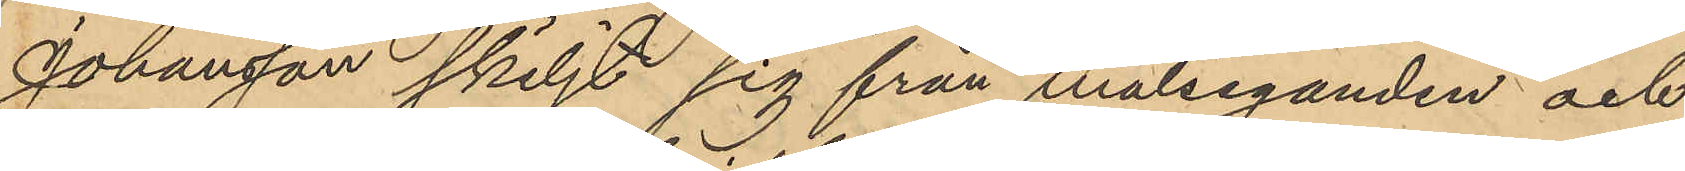Johansson skiljt sig från målseganden och
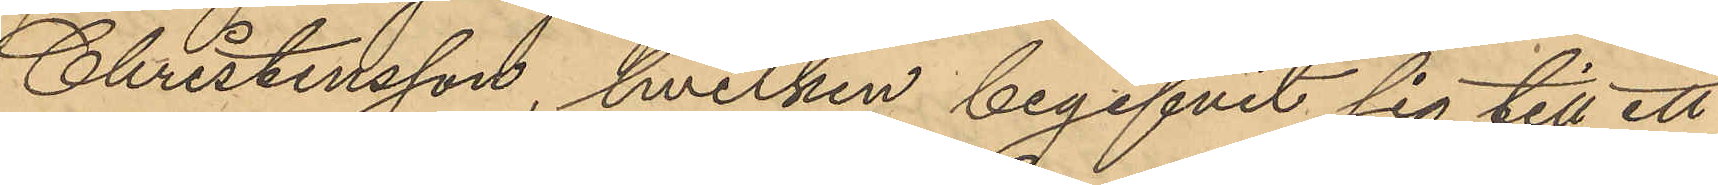Christensson, hvilken begifvit sig till ett
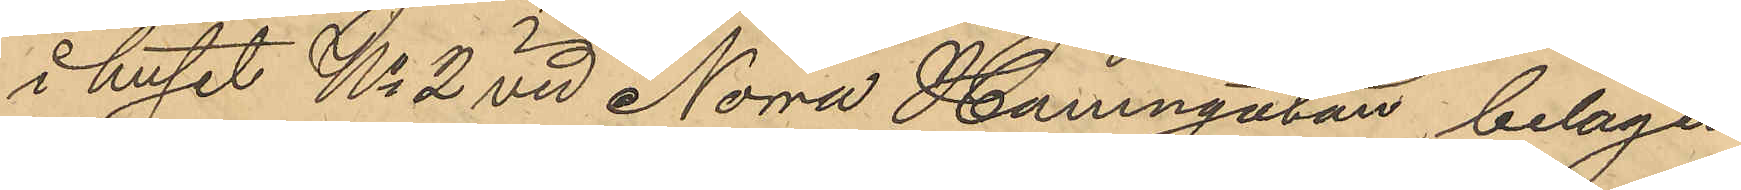i huset No 2 vid Norra Hamngatan, belägen
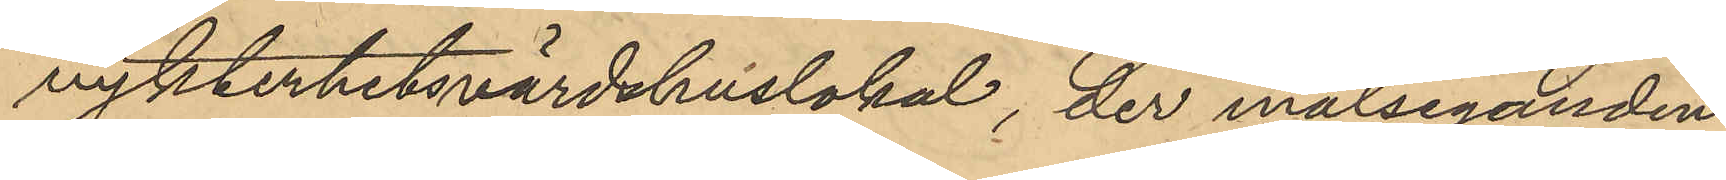nykterhetsvärdshuslokal, der målseganden
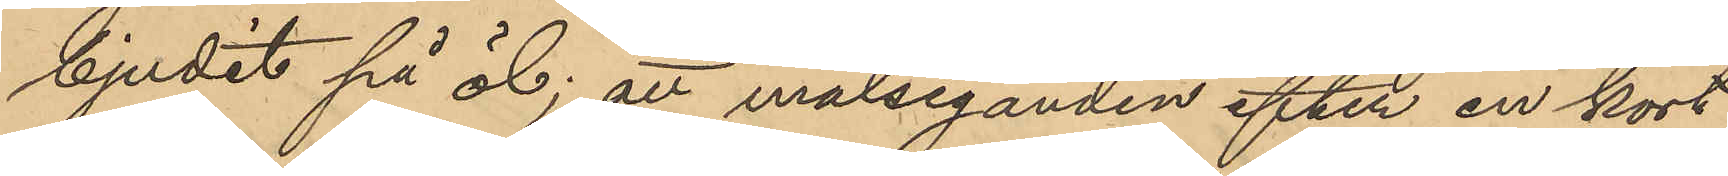bjudit på öl; att målseganden efter en kort
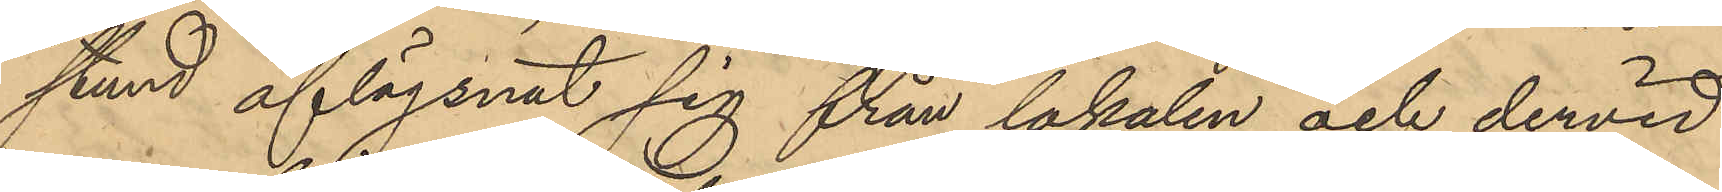stund aflägsnat sig från lokalen och dervid
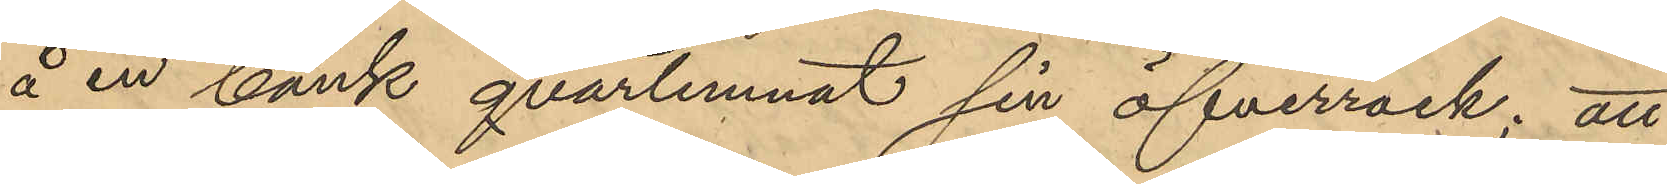å en bank qvarlemnat sin öfverrock; att
